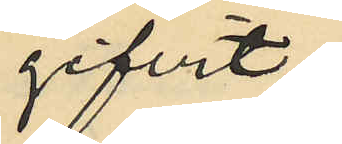gifvit:
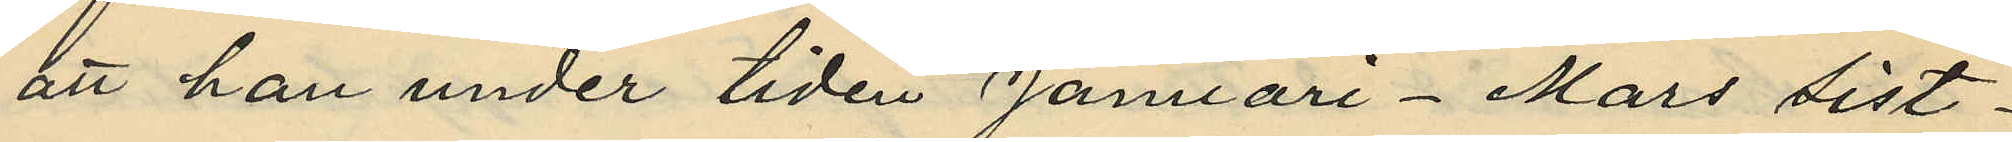att han under tiden Januari - Mars sist¬
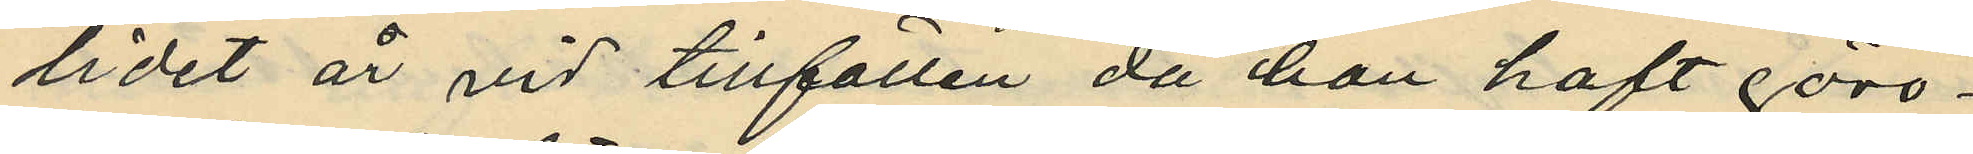lidet år vid tillfällen då han haft göro¬
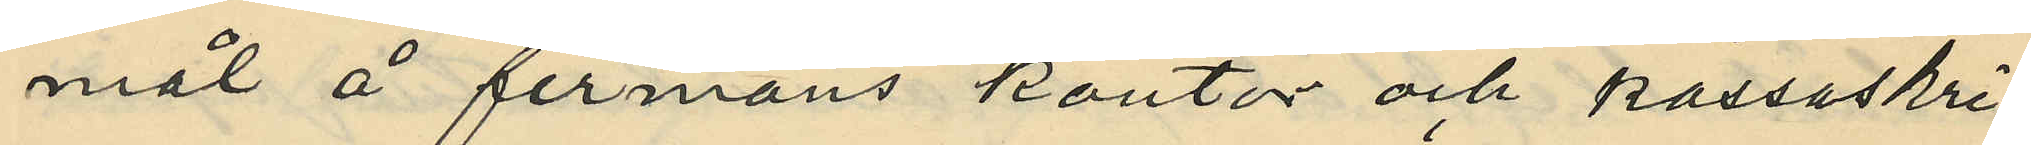mål å firmans kontor och kassaskri¬
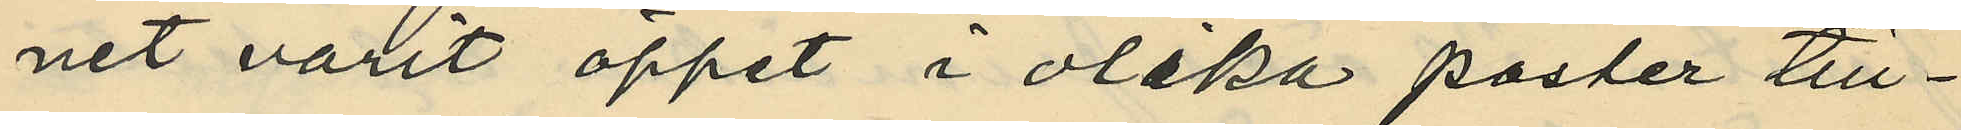net varit öppet i olika poster till¬
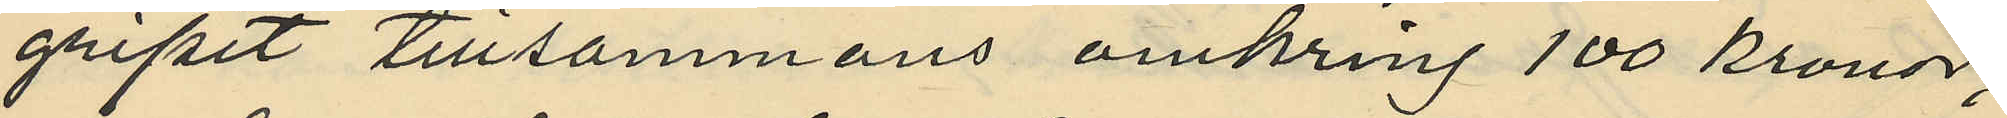gripit tillsammans omkring 100 kronor;
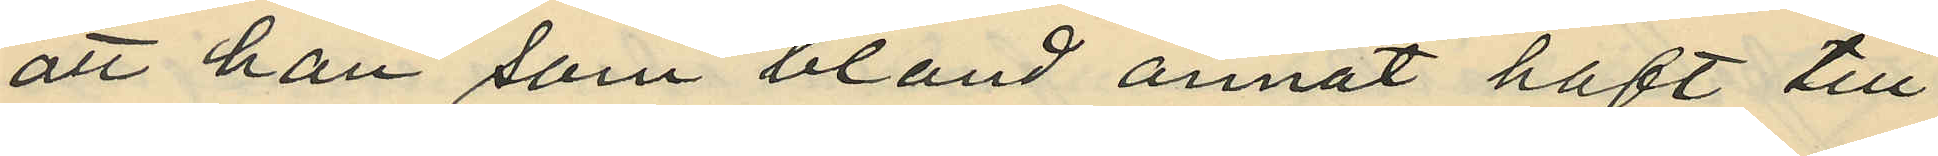att han som bland annat haft till
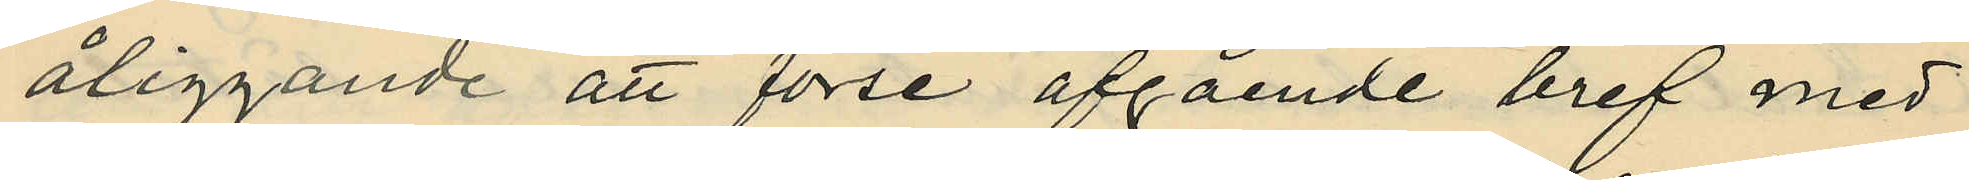åliggande att förse afgående bref med
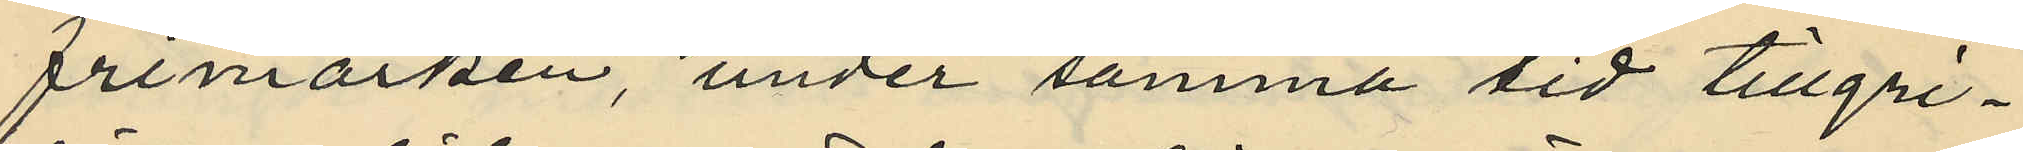frimärken, under samma tid tillgri¬
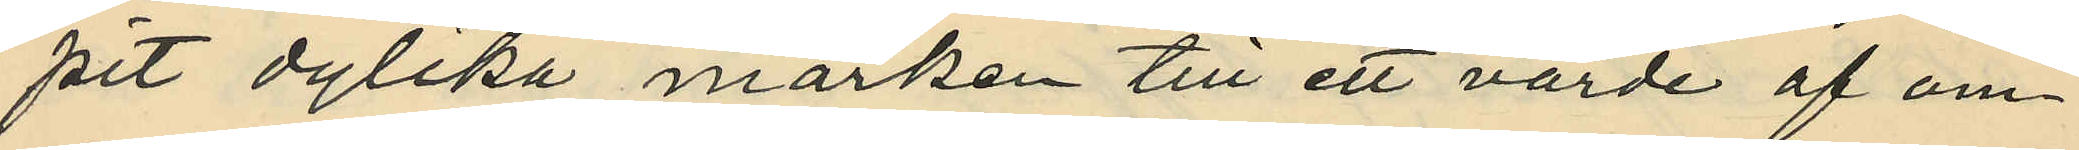pit dylika märken till ett värde af om¬
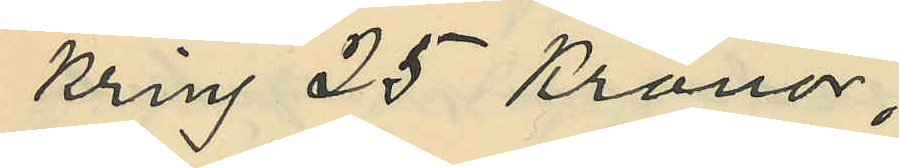kring 25 Kronor;
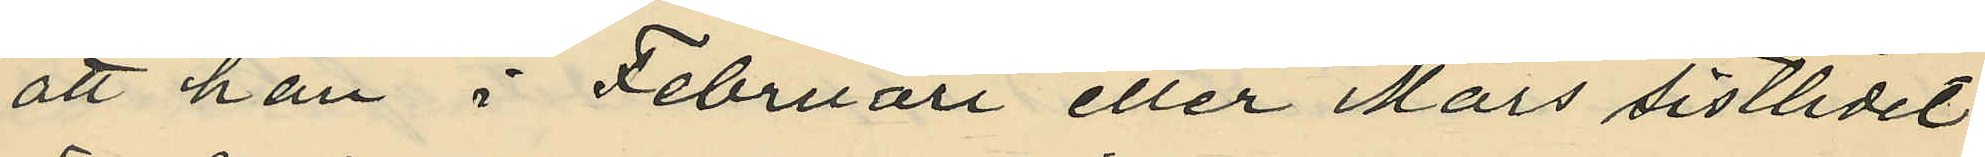att han i Februari eller Mars sistlidet
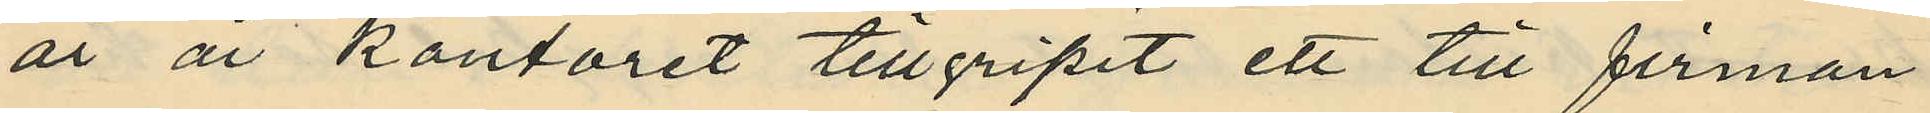år å kontoret tillgripit ett till firman
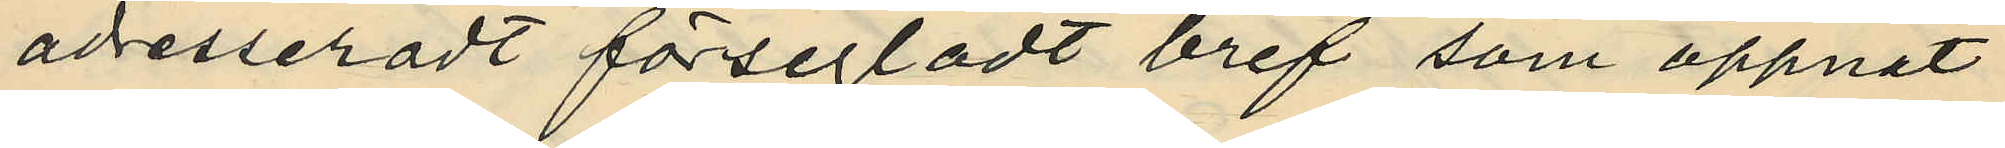adresseradt försegladt bref som öppnat
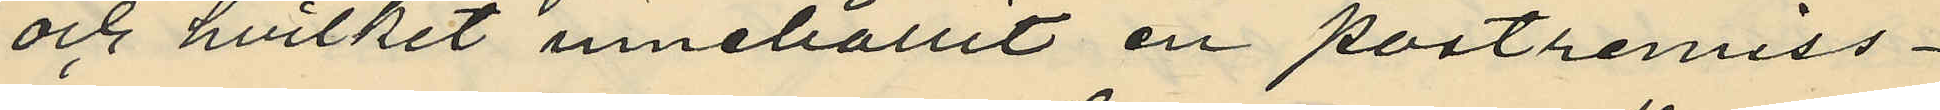och hvilket innehållit en postremiss¬
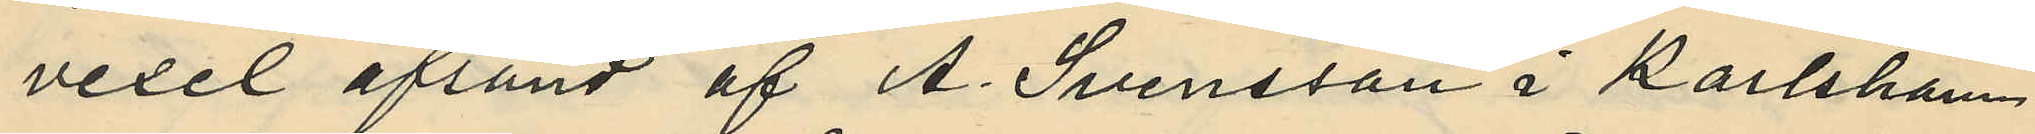vexel afsänd af A. Svensson i Karlsham
